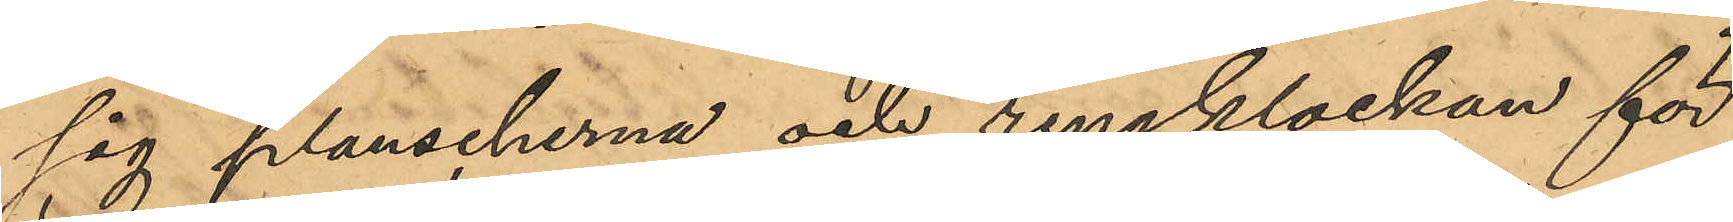sig planscherna och ringklockan för
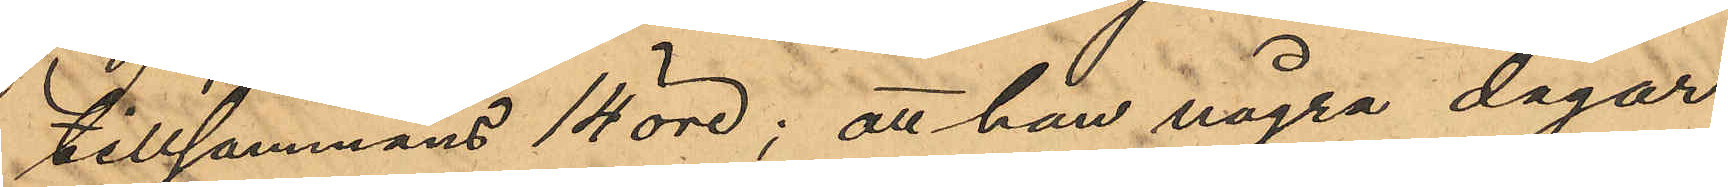tillsammans 14 öre; att han några dagar
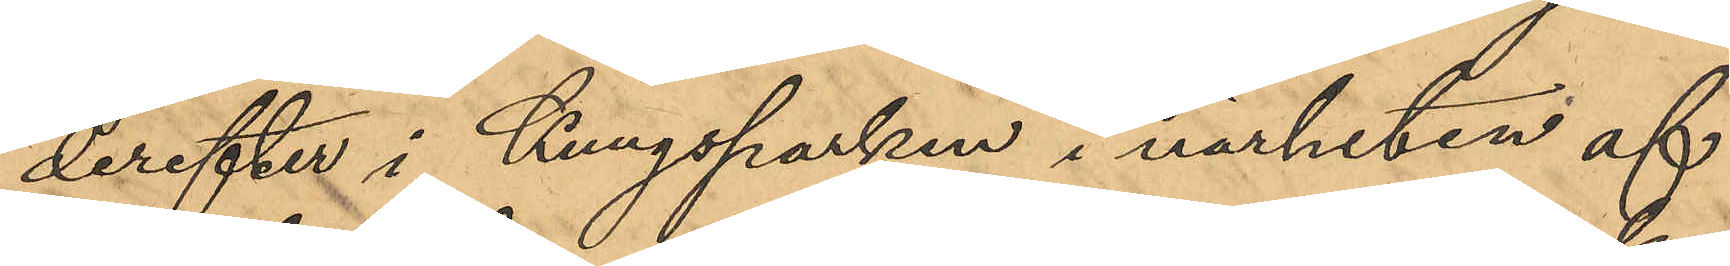derefter i Kungsparken i närheten af
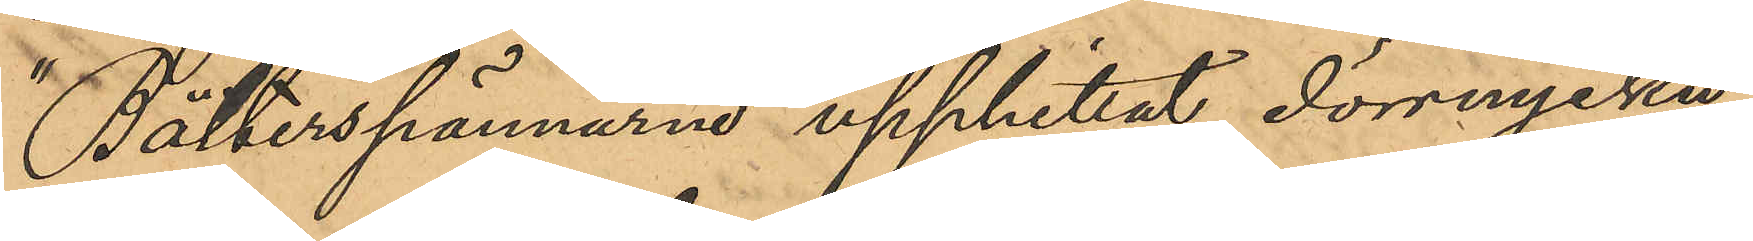"Bälterspännarne" upphittat dörrnyckeln;
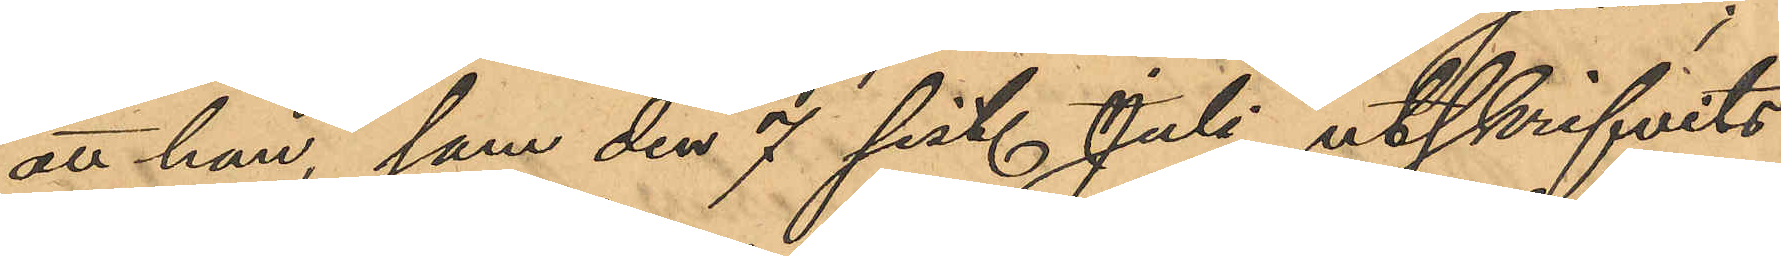att han, som den 7 sist. Juli utskrifvits
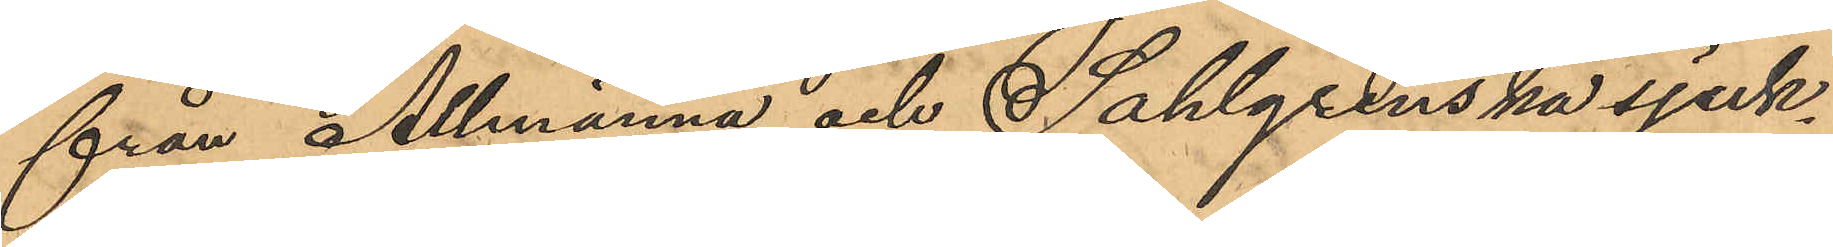från Allmänna och Sahlgrenska sjuk¬
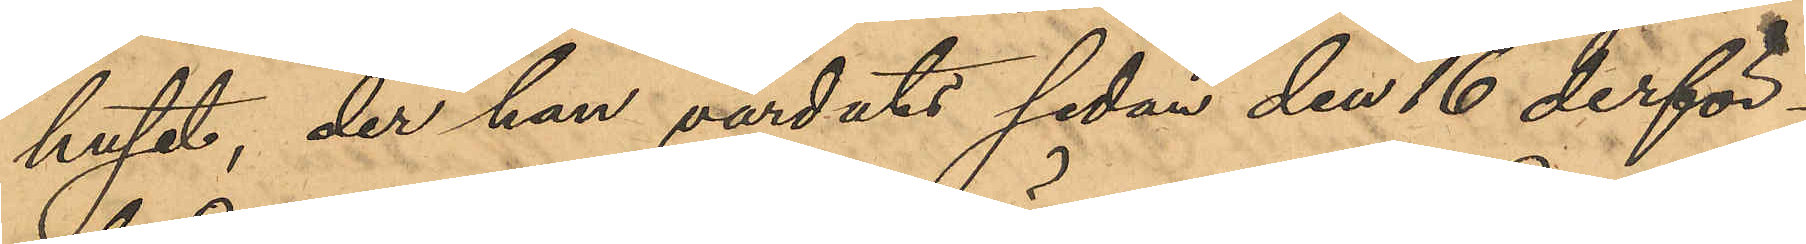huset, der han vårdats sedan den 16 derför¬
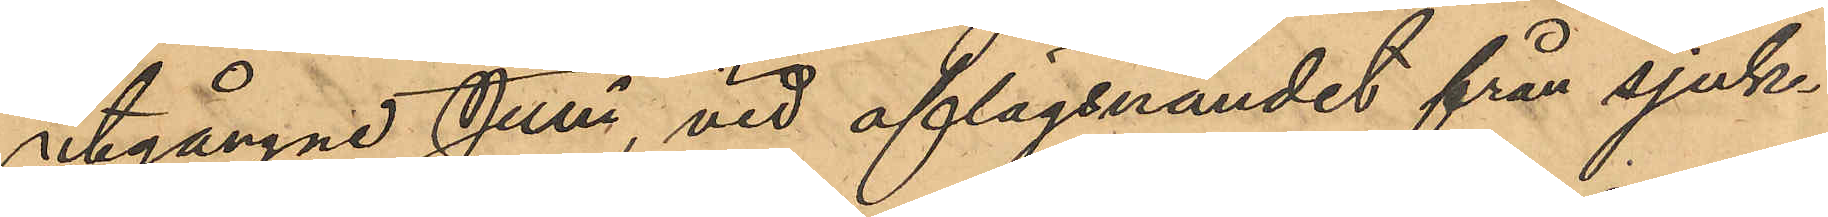utgångne Juni, vid aflägsnandet från sjuk¬
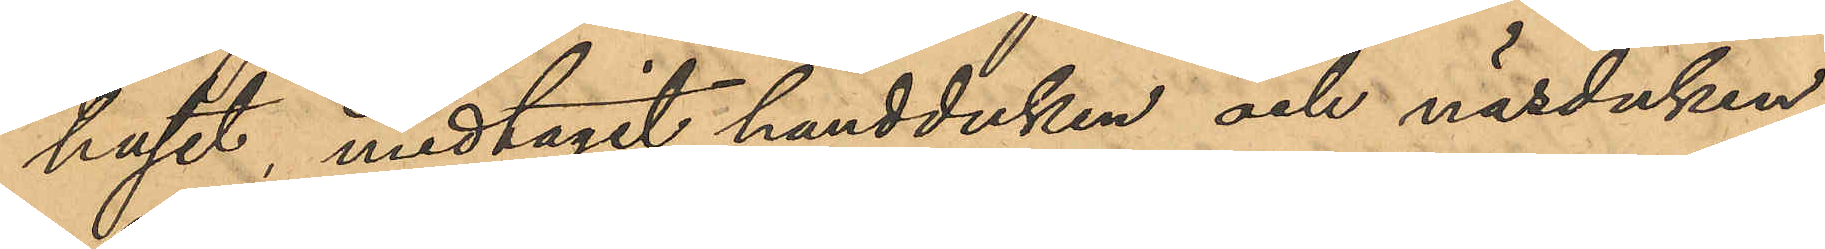huset, medtagit handduken och näsduken
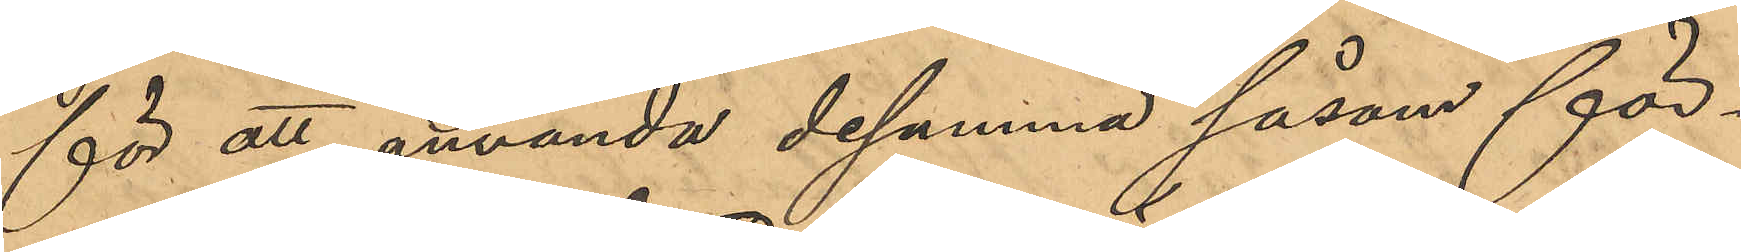för att använda desamma såsom för¬
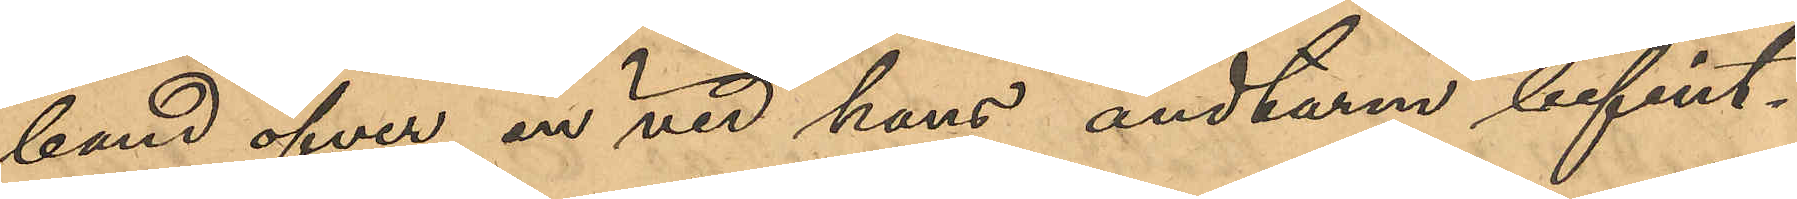band öfver en vid hans ändtarm befint¬
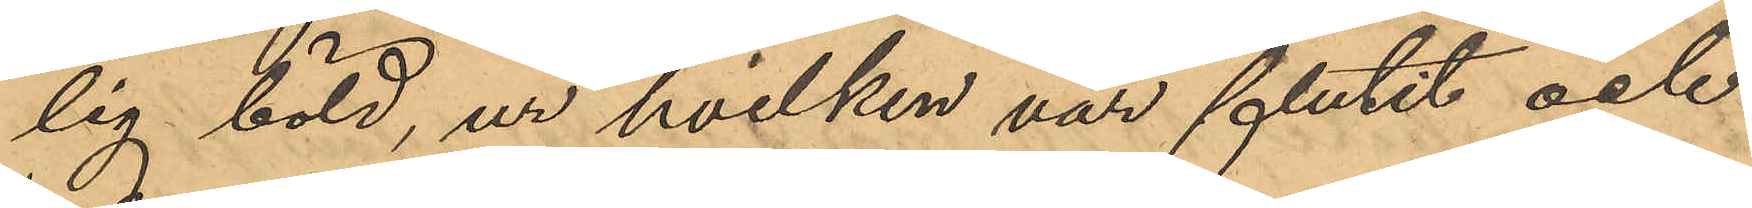lig böld, ur hvilken var flutit och
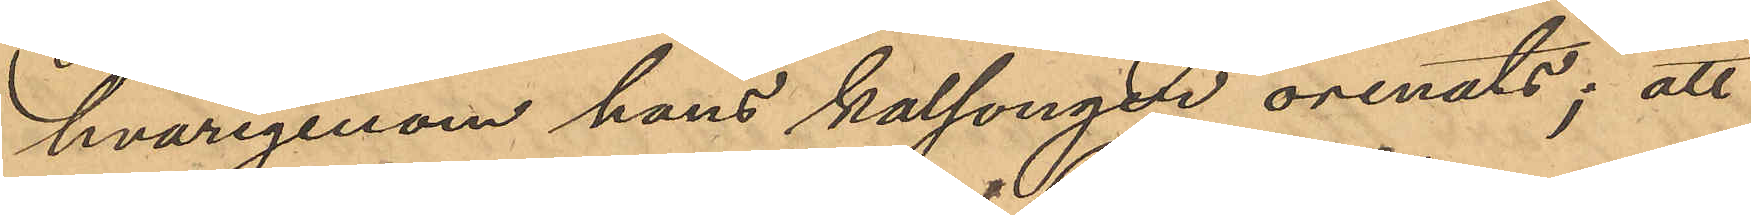hvarigenom hans kalsonger orenats; att
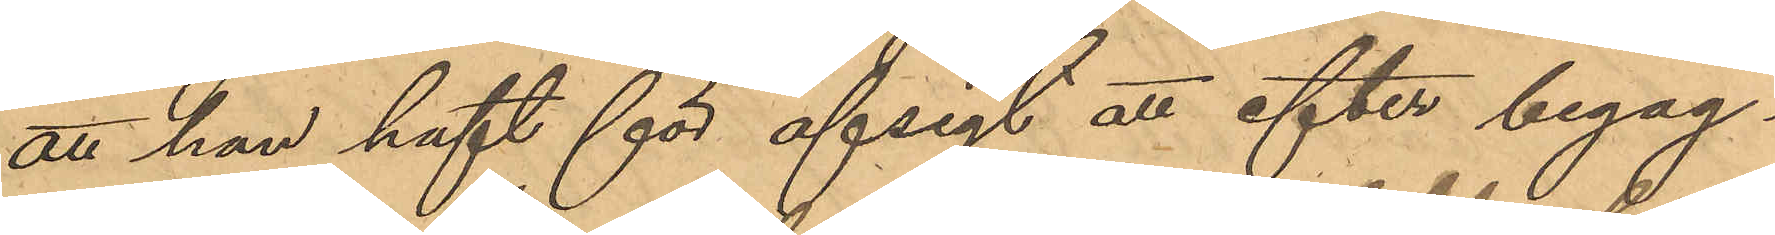att han haft för afsigt att efter begag¬
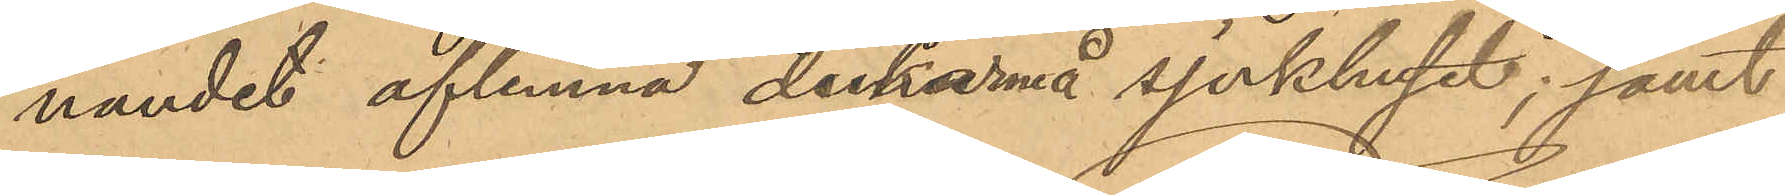nandet aflemna dukarna å sjukhuset; samt
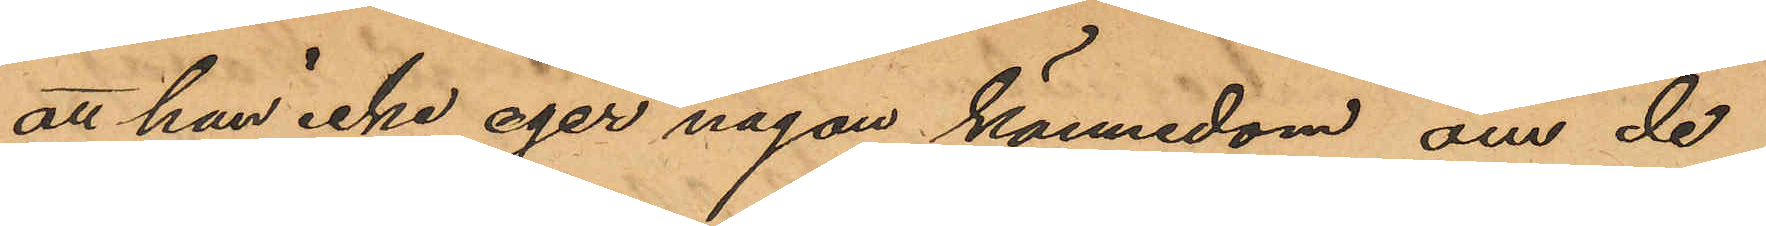att han icke eger någon kännedom om de
